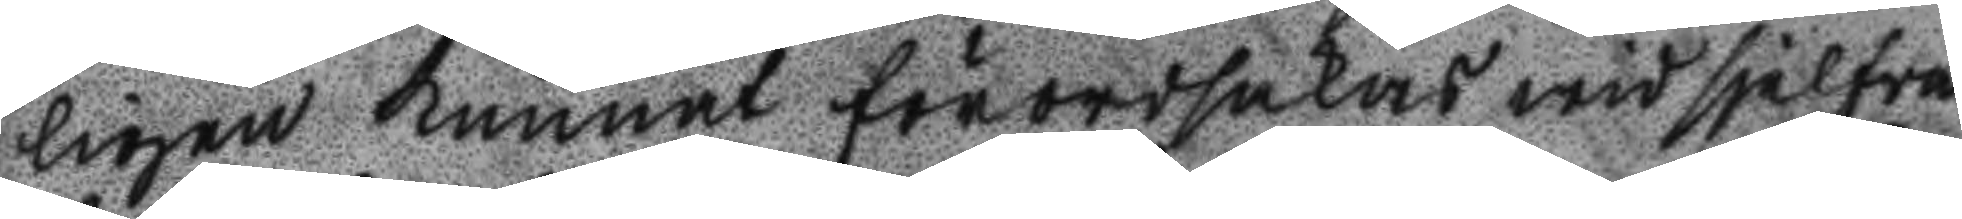ligen kunnat förorsakas wid sjelfva
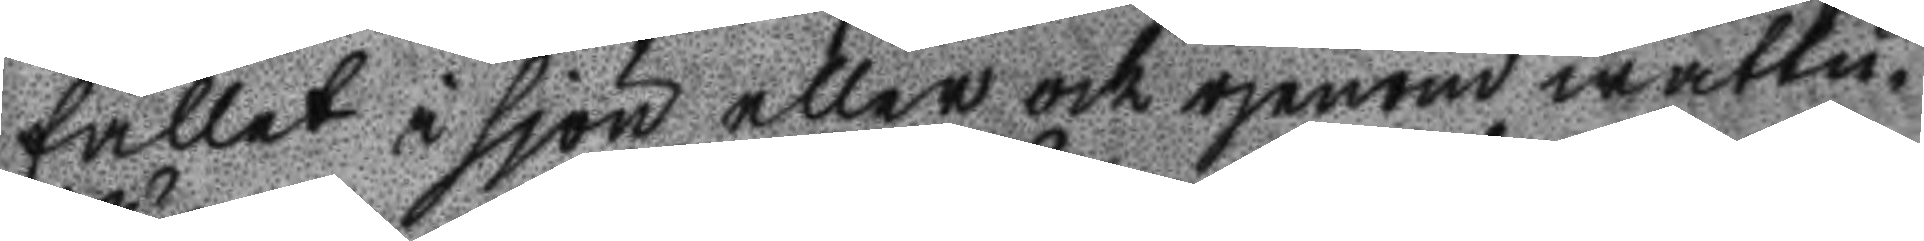fallet i sjön eller ock genom wattu
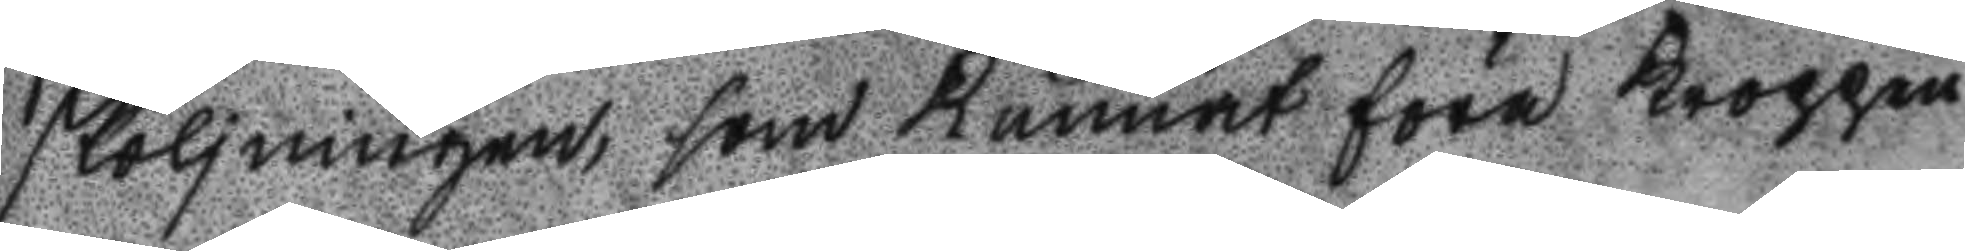sköljningen, som kunnat föra kroppen
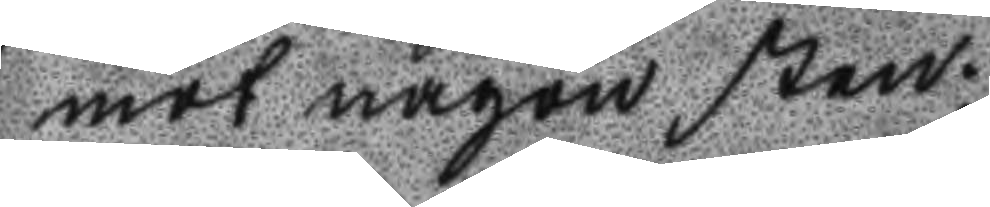mot någon sten.
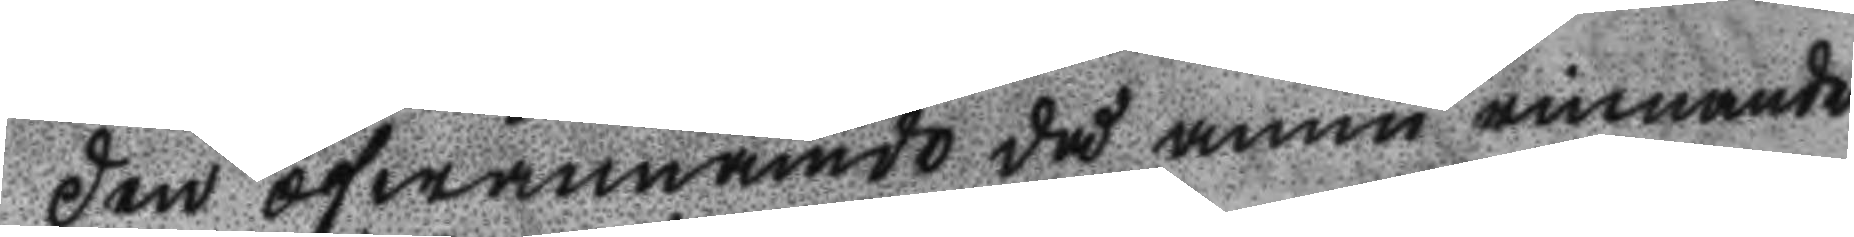Den ofwannämde då ännu rinnande
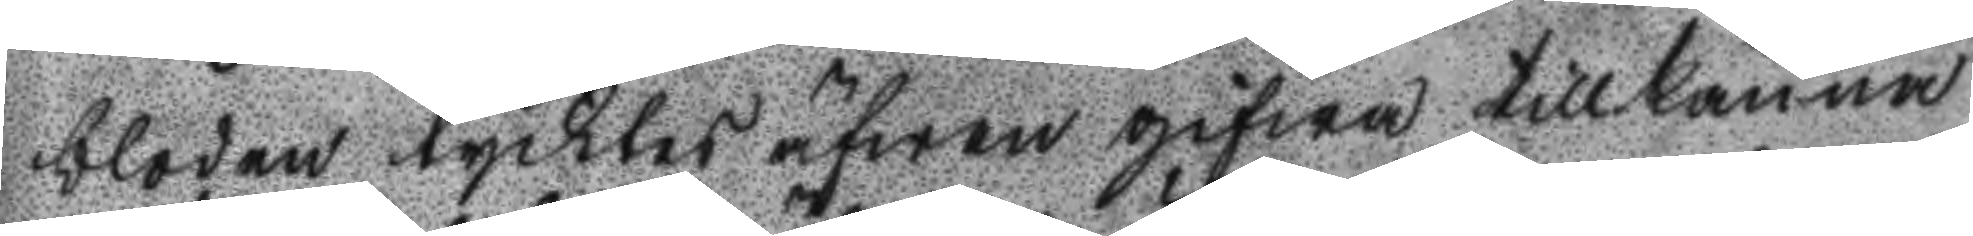bloden tycktes äfwen gifwa tillkänna
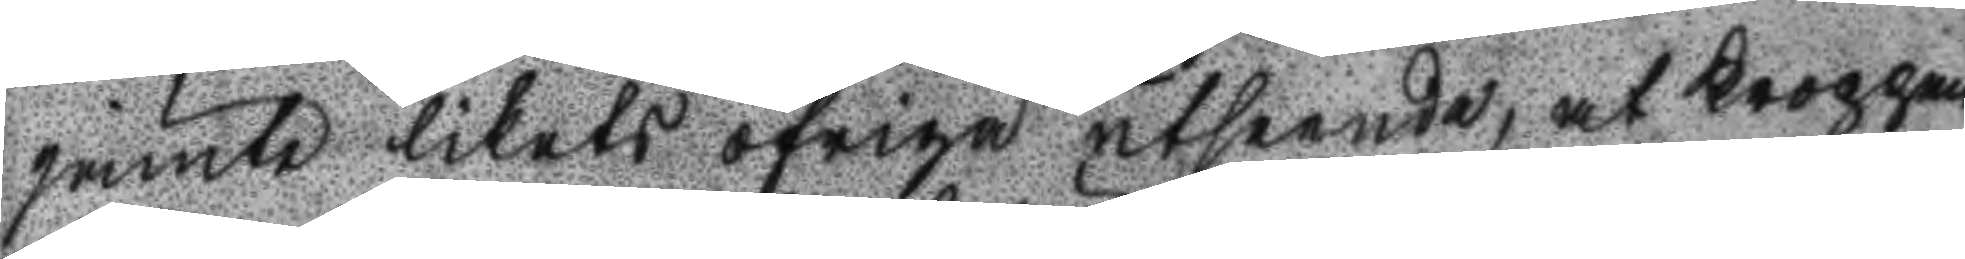jämte likets öfriga utseende; at kroppen
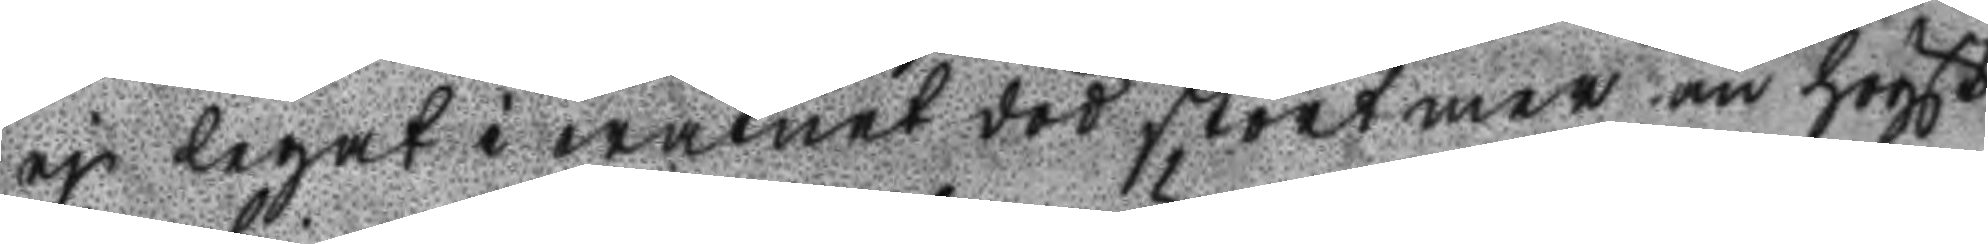ej legat i wattnet död stort mer än högst
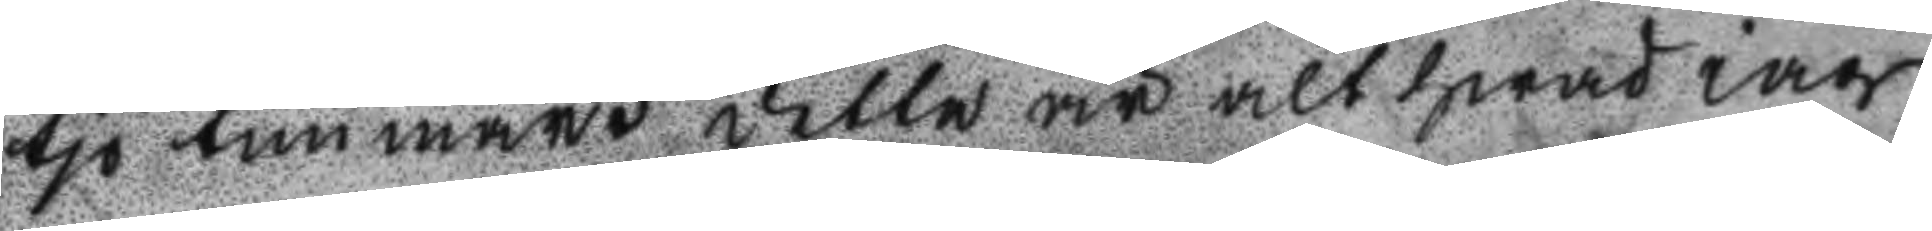tio timmat detta är alt hwad iag
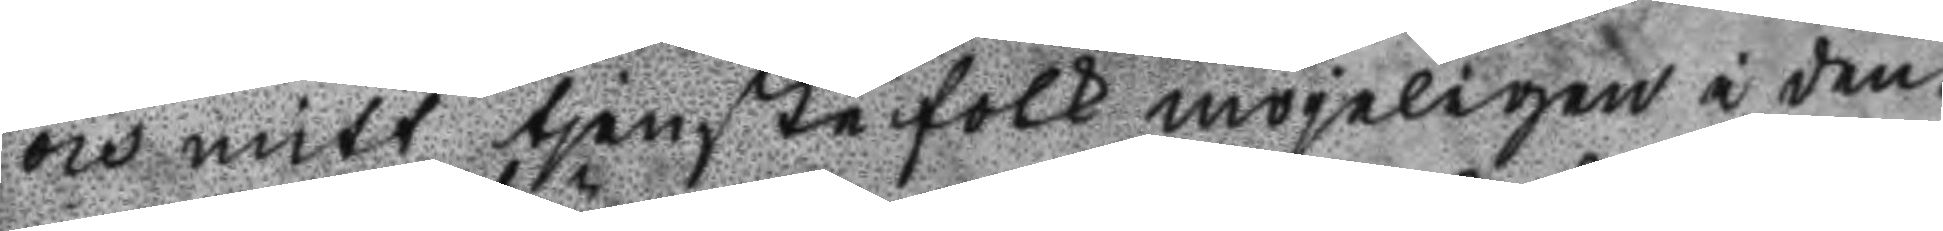och mitt tjenstefolk mögeligen i den¬
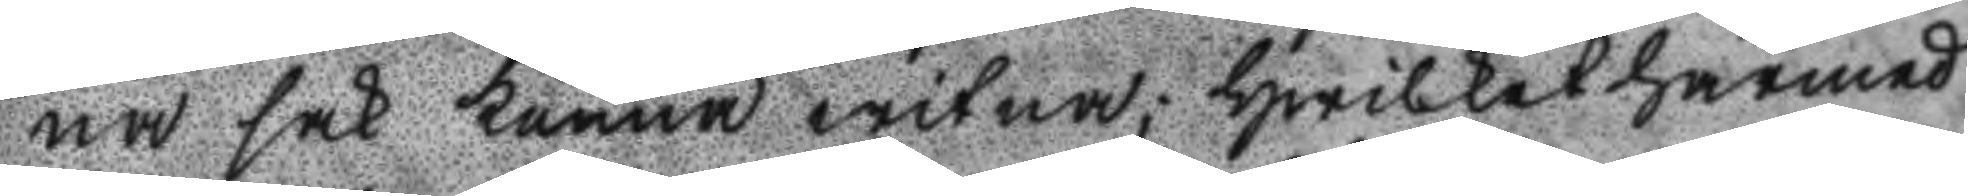na sak kunna witna; hwilkat härmed
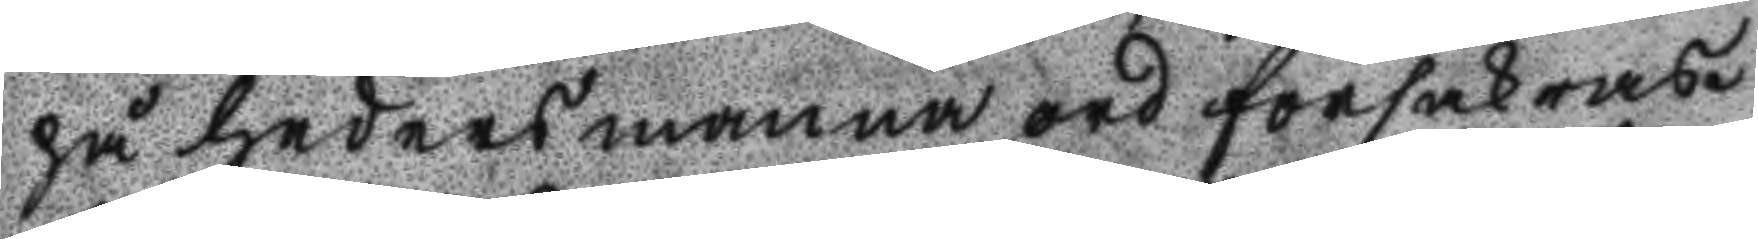på hedersmanna ord försäkras.
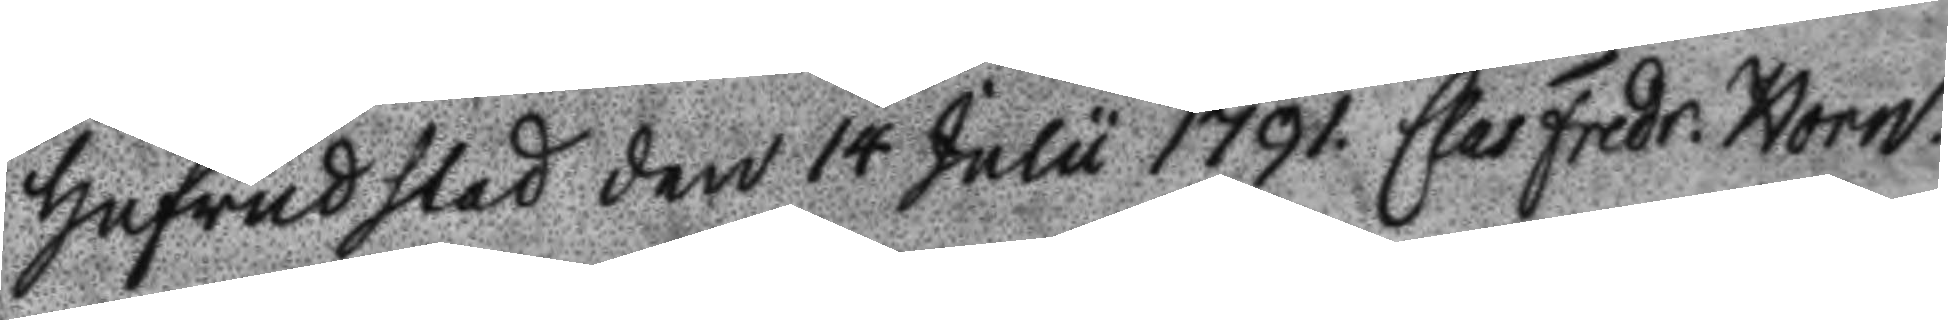Hufvudstad deb 14 julu 1791. Claes Fredr. Horn.
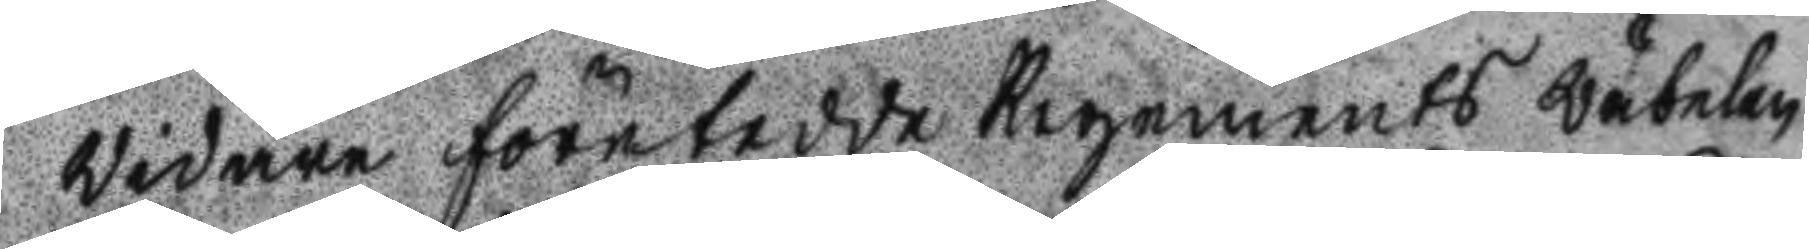Widare företedde Regements wäbelen
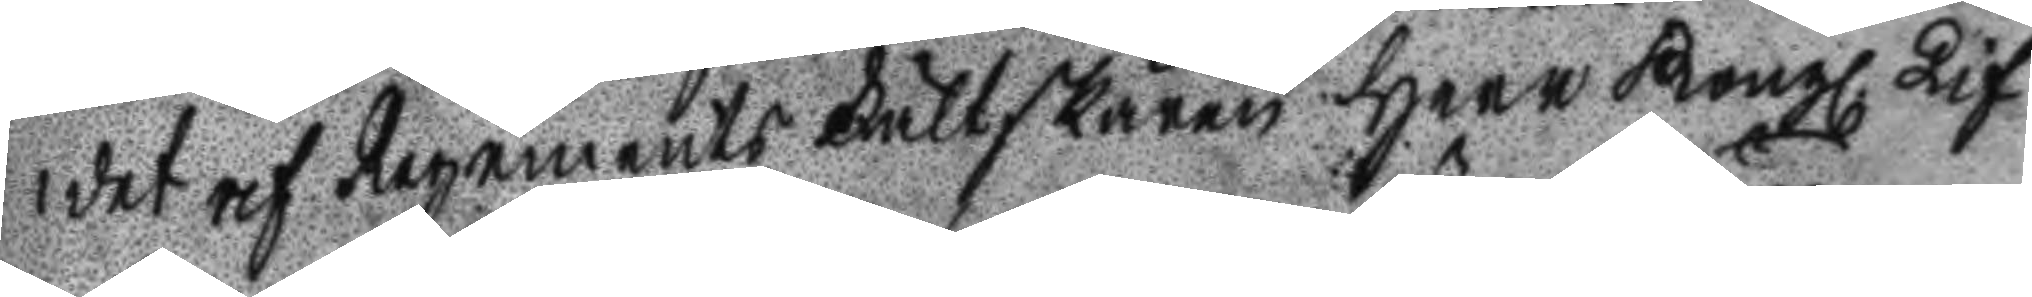det af Regements Fältskären Herr Kongl. Lif
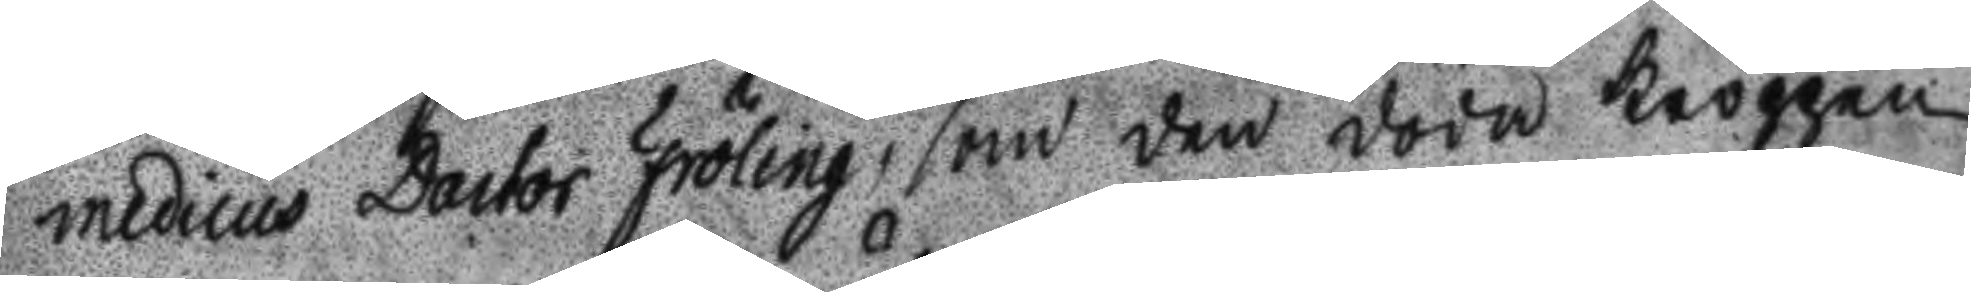medicus Doctor Fröling, som den döda kroppen
